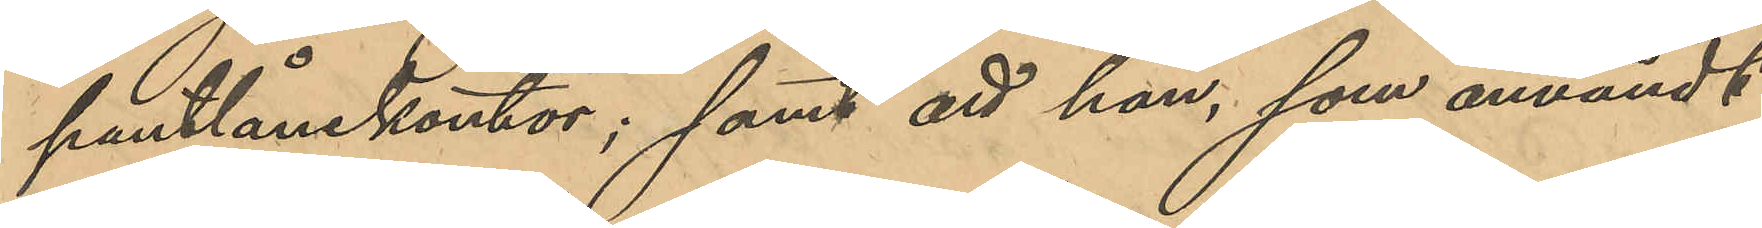pantlånekontor; samt att han, som användt
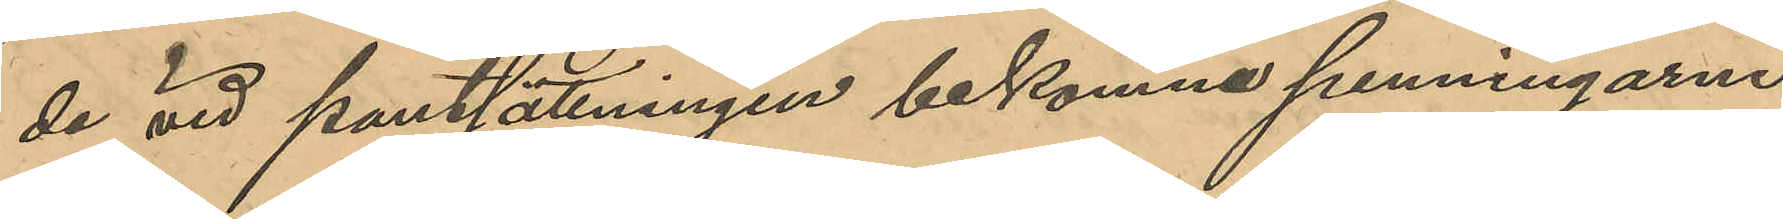de vid pantsättningen bekomne penningarne
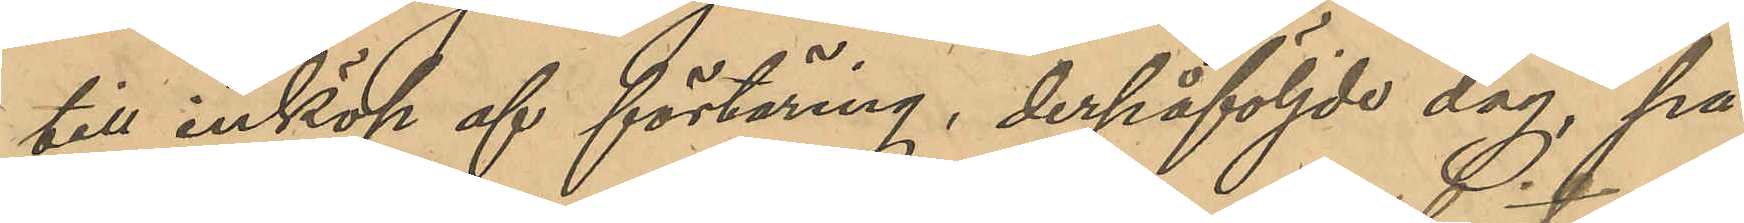till inköp af förtäring, derpåföljde dag, på
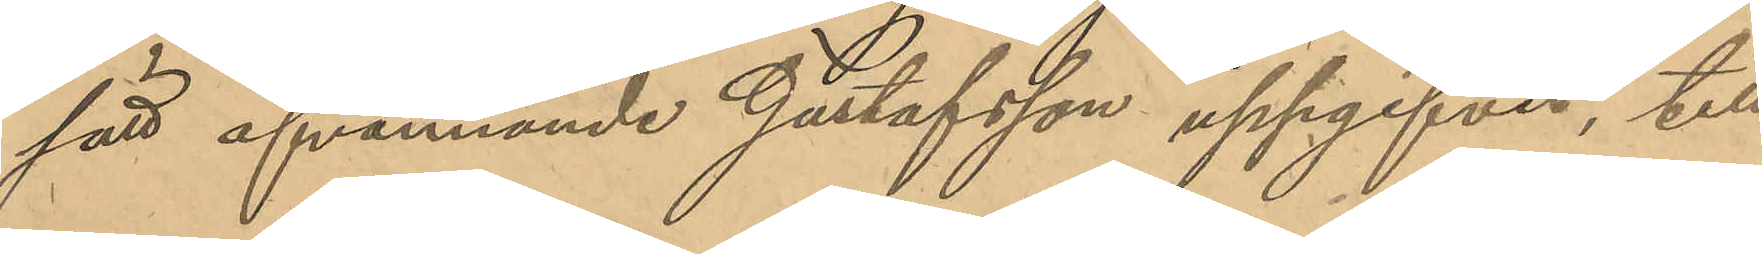sätt ofvannämnde Gustafsson uppgifvit, till
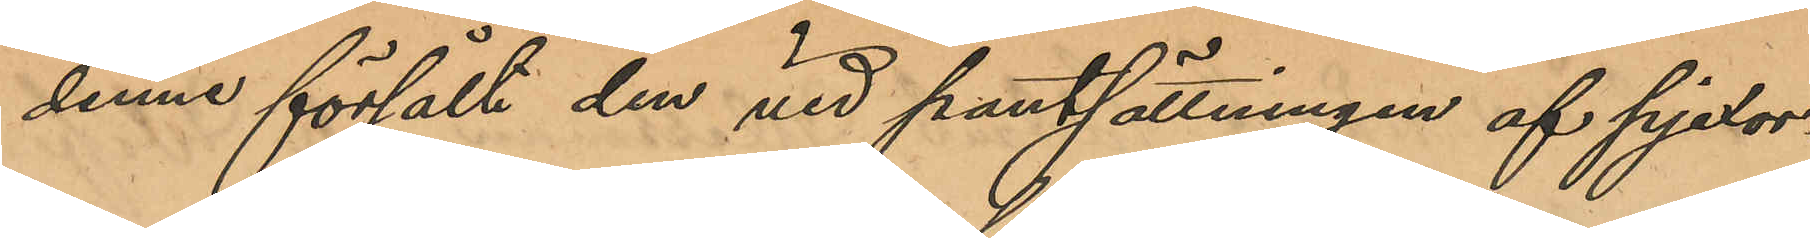denne försålt den vid pantsättningen af pjexor¬
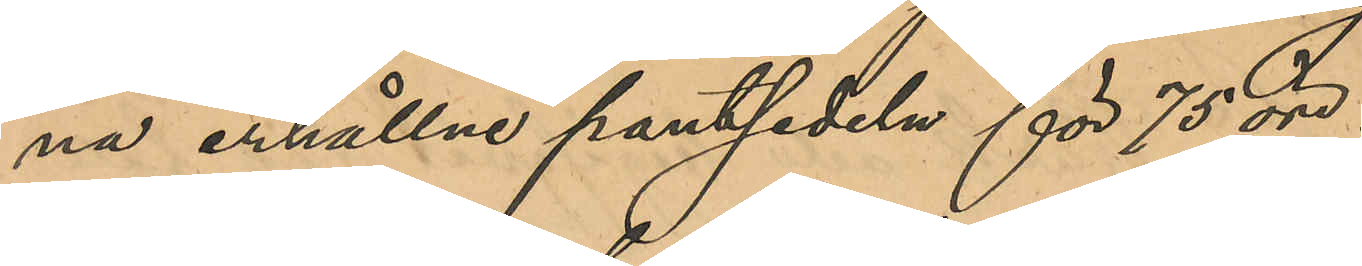na erhållne pantsedeln för 75 öre.
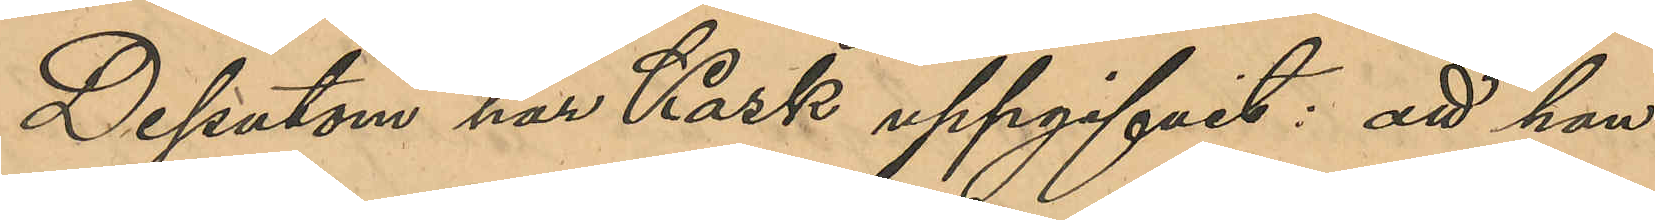Dessutom har Kask uppgifvit att han
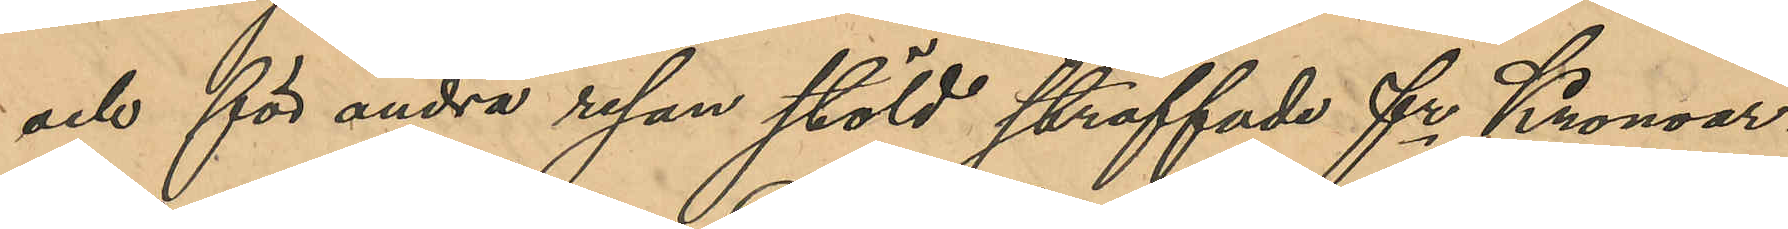och för andra resan stöld straffade fr Kronoar¬
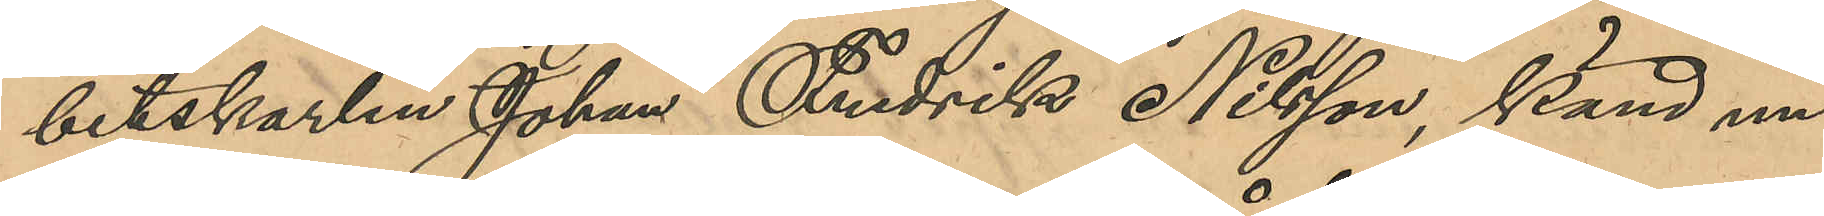betskarlen Johan Fredrik Nilsson, känd un¬
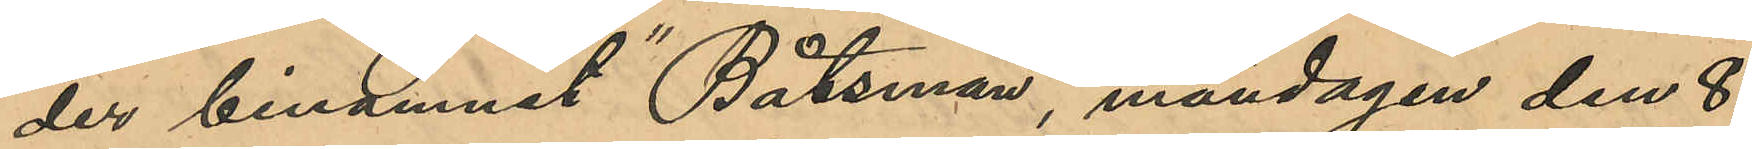der binamnet "Båtsman", måndagen den 8
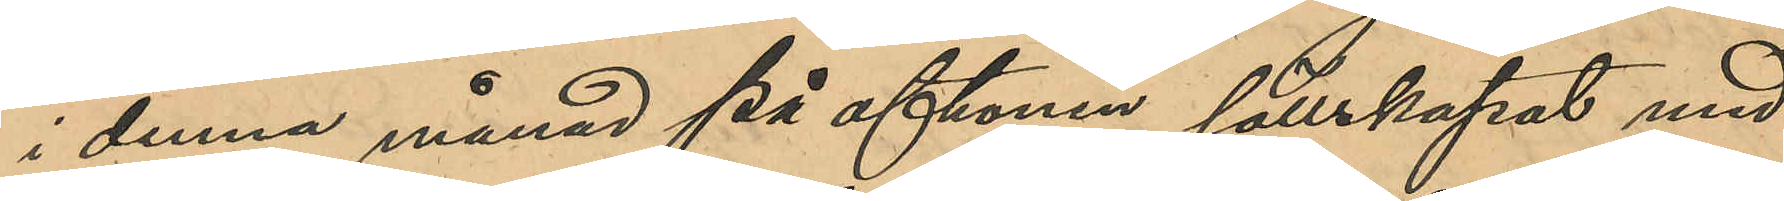i denna månad på aftonen sällskapat med
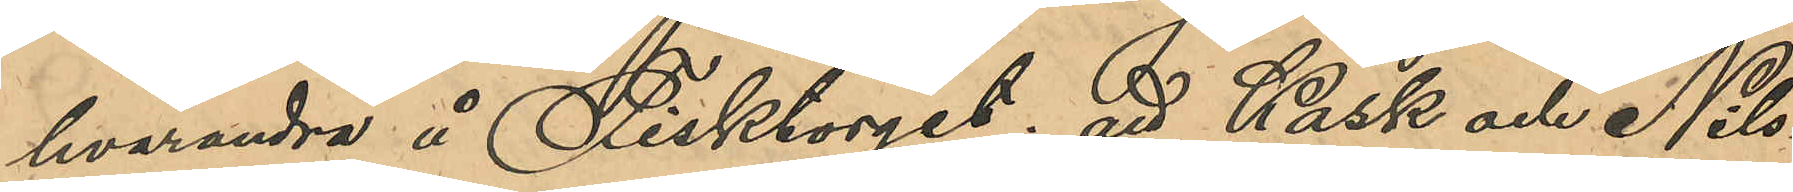hvarandra å Fisktorget; att Kask och Nils¬
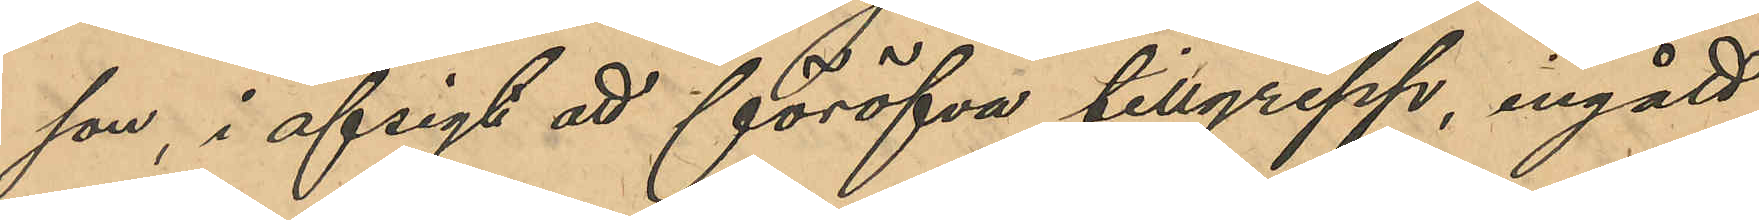son i afsigt att föröfva tillgrepp, ingått
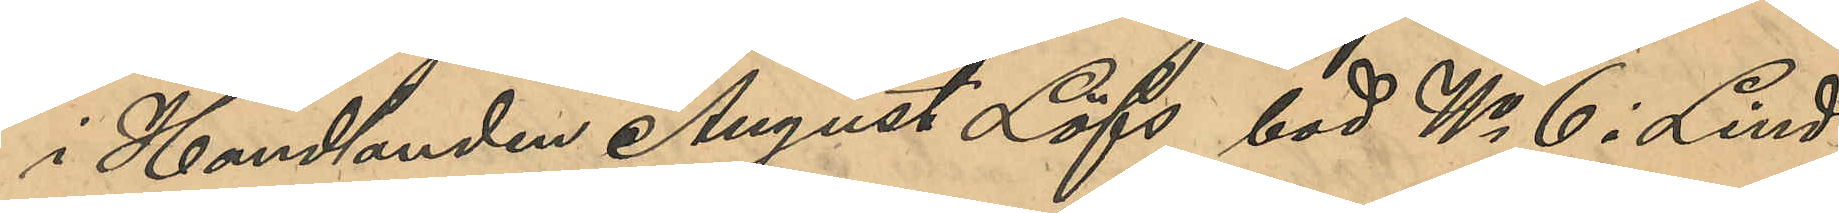i Handlanden August Löfs bod No 6 i Lind¬
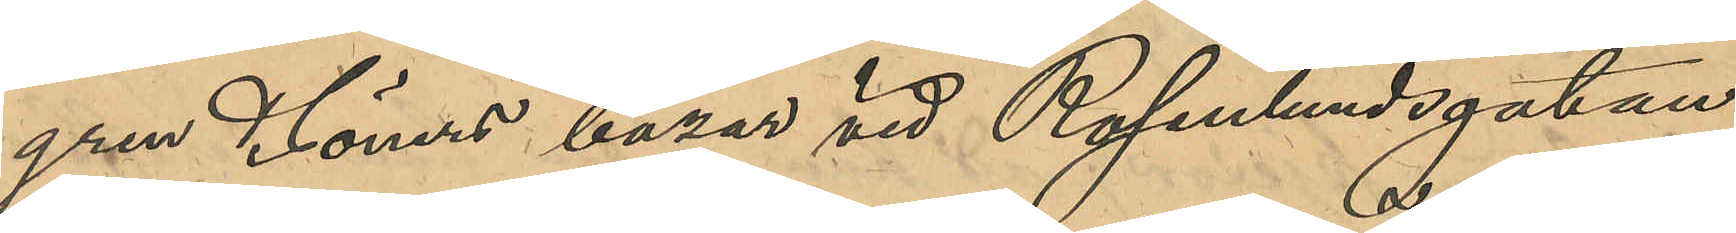gren & Söners bazar vid Rosenlundsgatan,
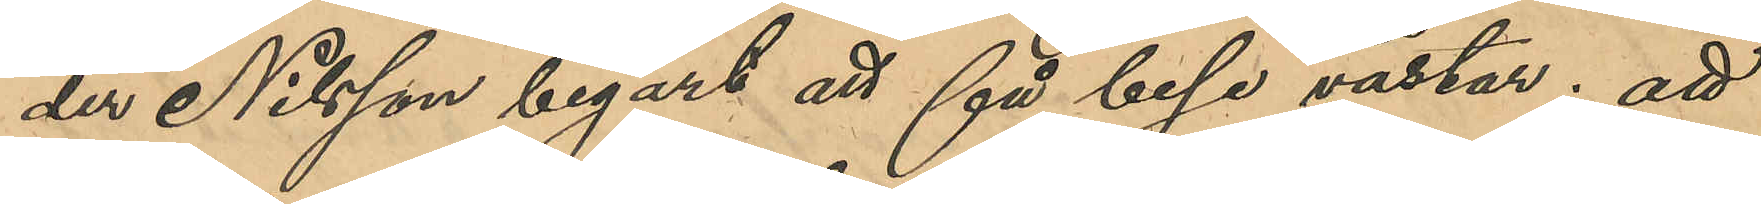der Nilsson begärt att få bese västar; att
